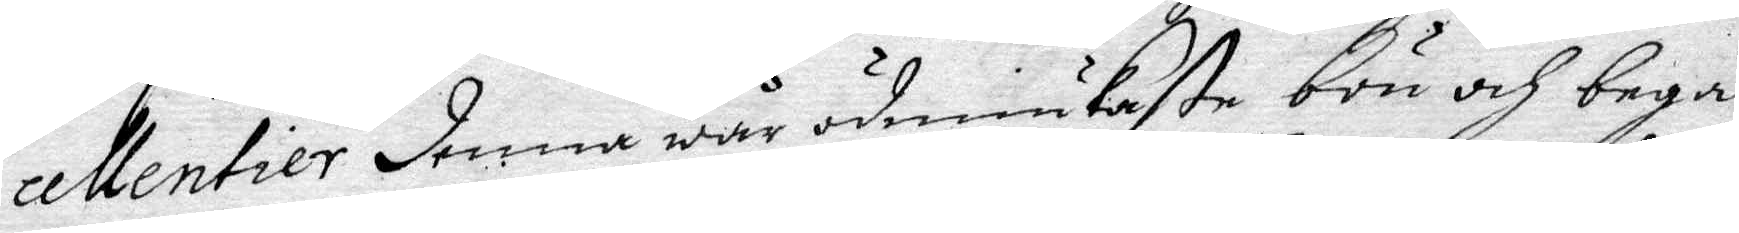cellentier denna wär ödmiukaste bön och begä¬
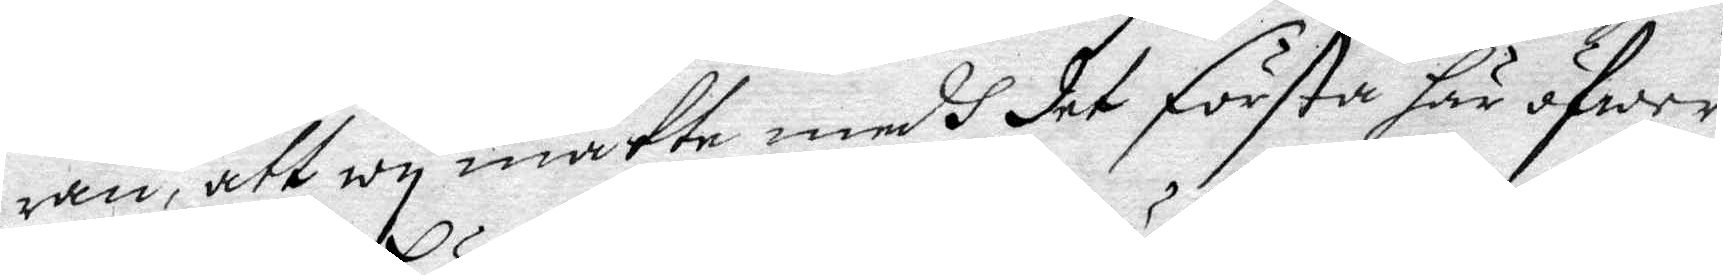ran, att wy måtte medh det första här öfwer
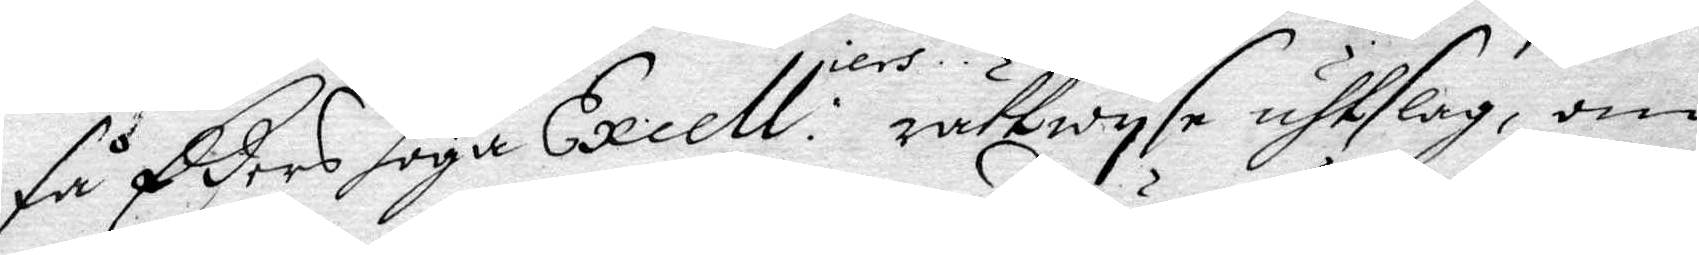få Eders höga Excell:iers rättwysa uhtslag, om 
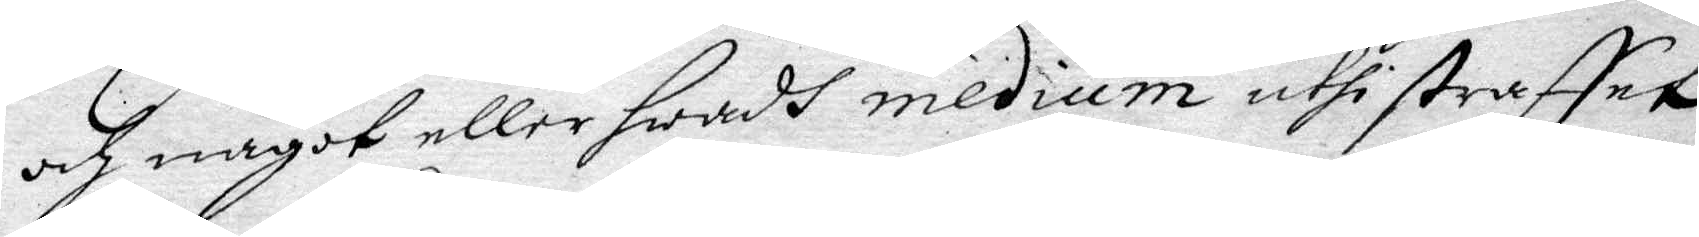och något eller hwadh medium uthi straffet
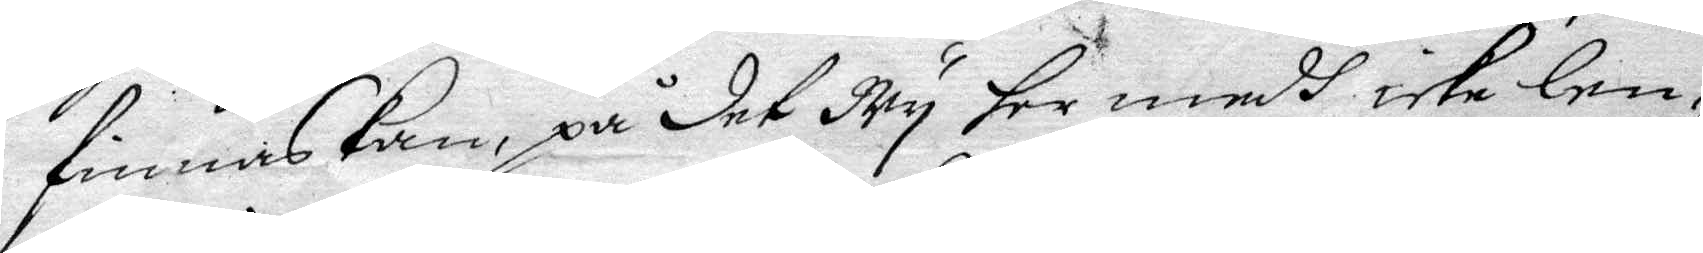finnas Kan, på det Wy ter medh icke len¬
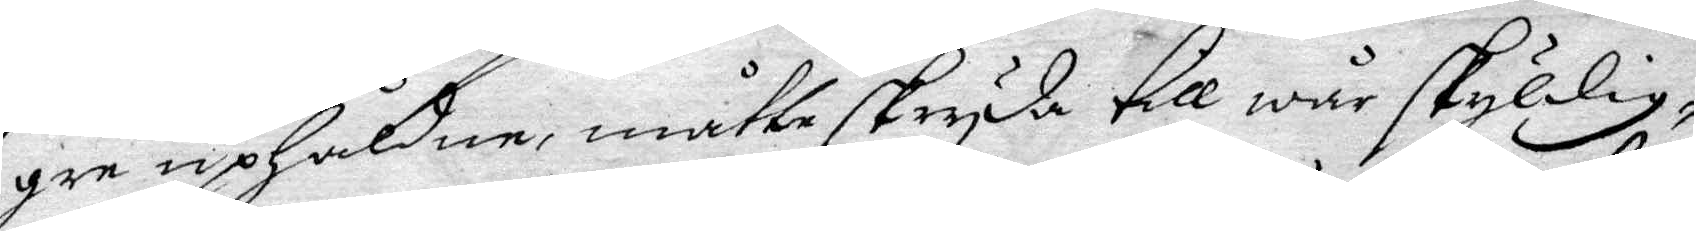gre uphåldne, måtte skryda till wär skyldig¬
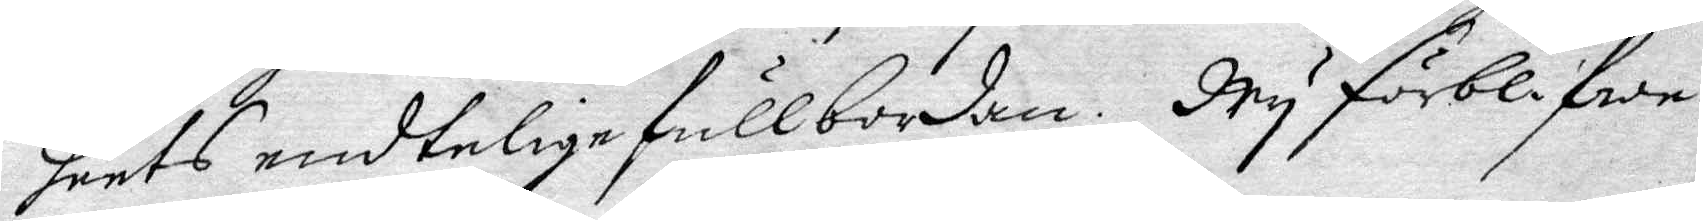heets endtelige fullbordan. Wy förblifwa
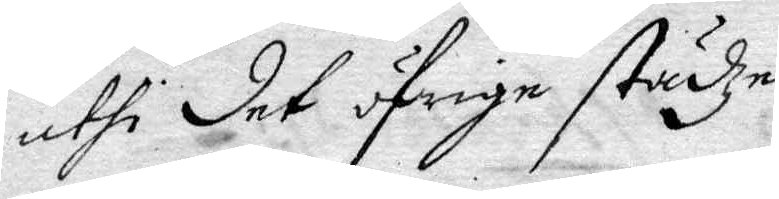uthi det öfrige städze
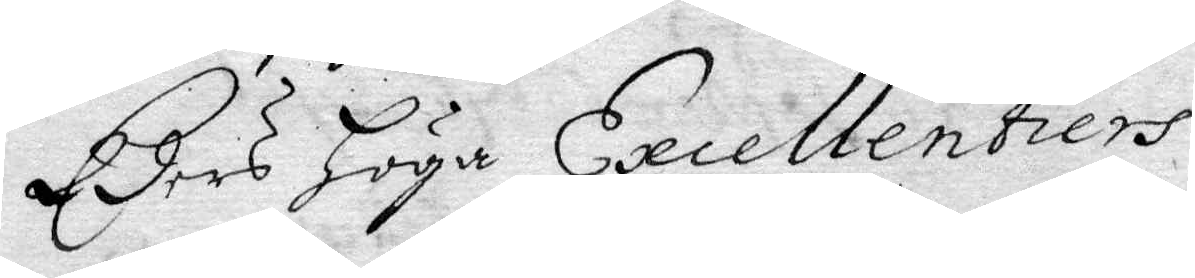Eders Höga Excellentiers
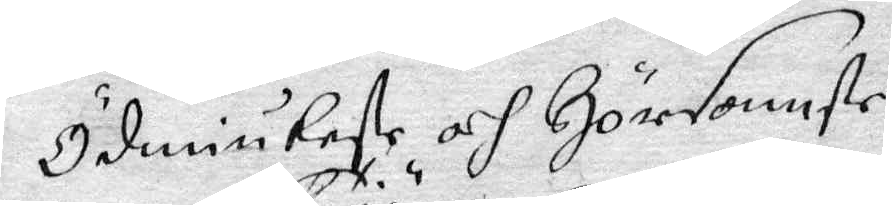Ödmiukeste och Hörsomste
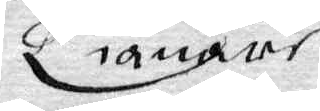Tiänare
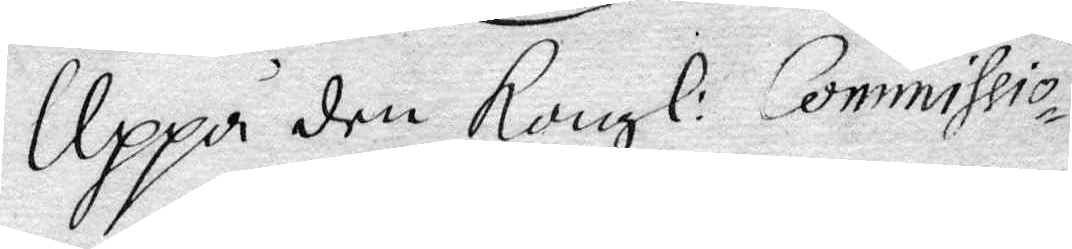Uppå den Kongl. Commissio¬
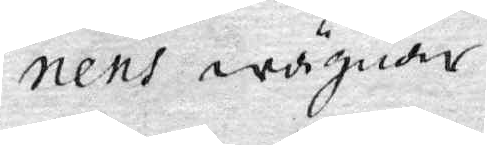nens wägnar
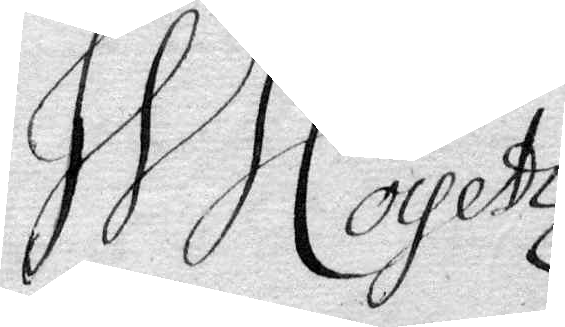H J Coyetz
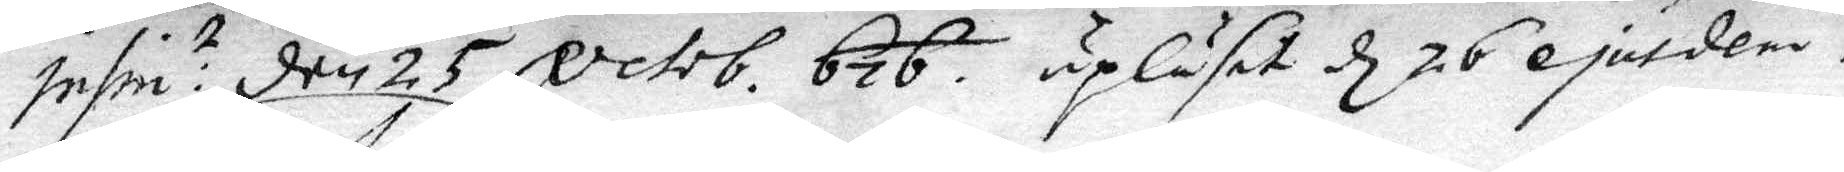Infri: den 25 octob. 676. upläset d 26 ejusdem.
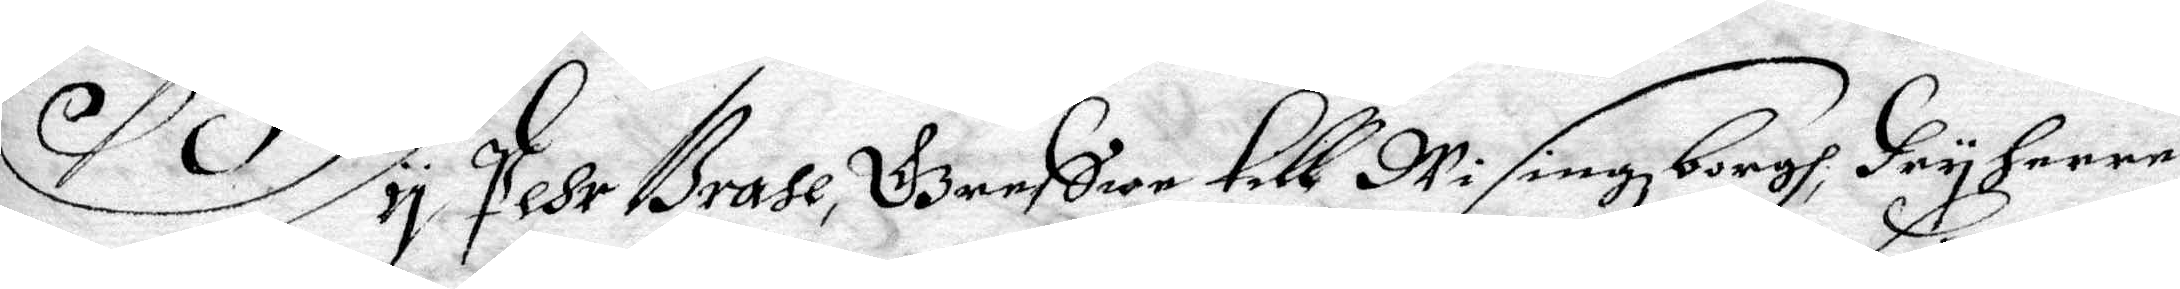Wy Pehr Brahe, Grefwe till Wisingzborgh, Fryherre
